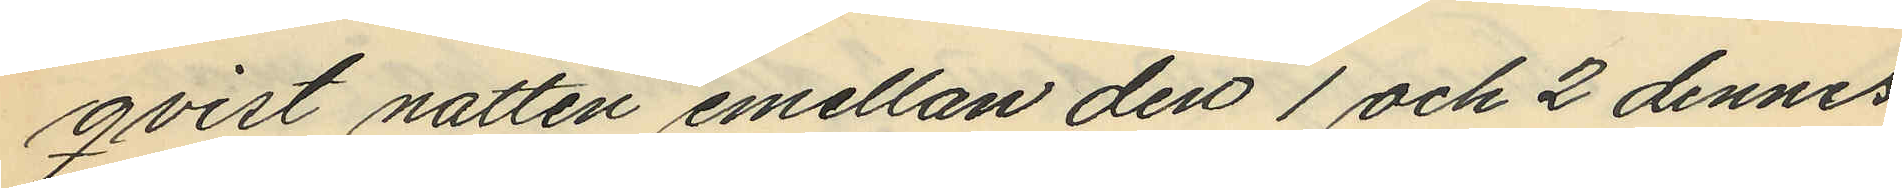qvist natten emellan den 1 och 2 dennes
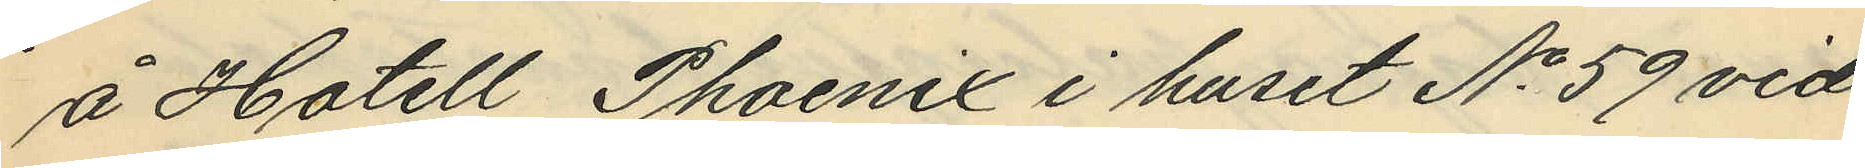å Hotell Phoenix i huset No 59 vid
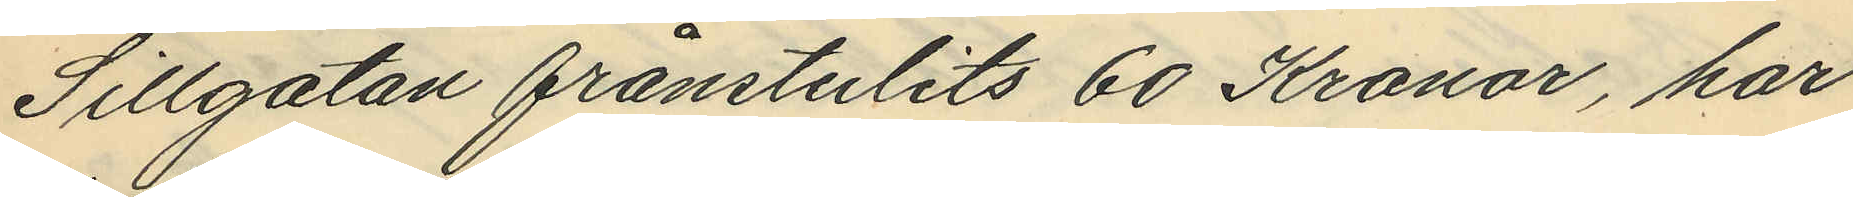Sillgatan frånstulits 60 Kronor, har
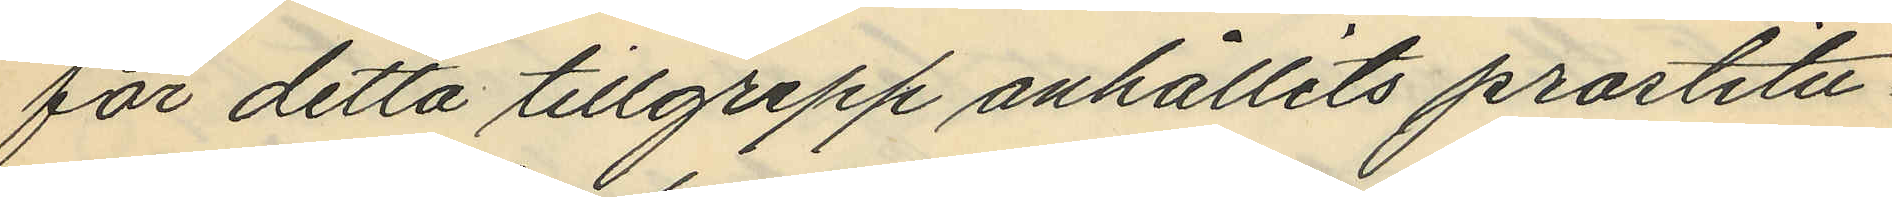för detta tillgrepp anhållits prostitu¬
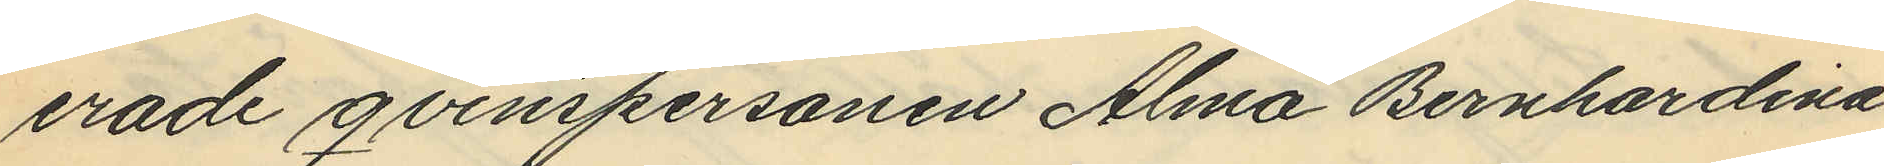erade qvinspersonen Alma Bernhardina
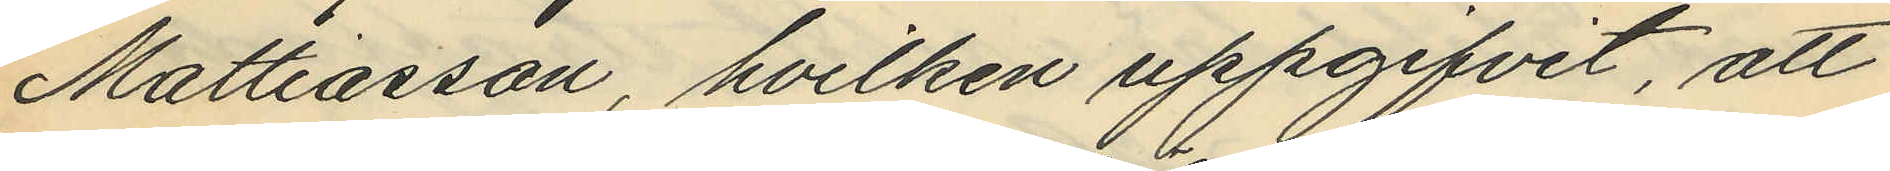Mattiasson, hvilken uppgifvit, att
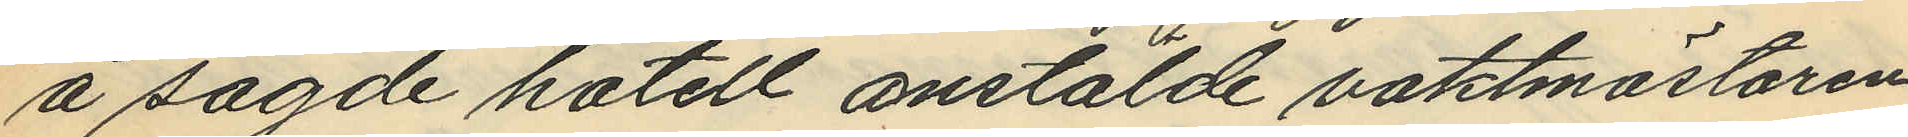å sagde hotell anstälde vaktmästaren
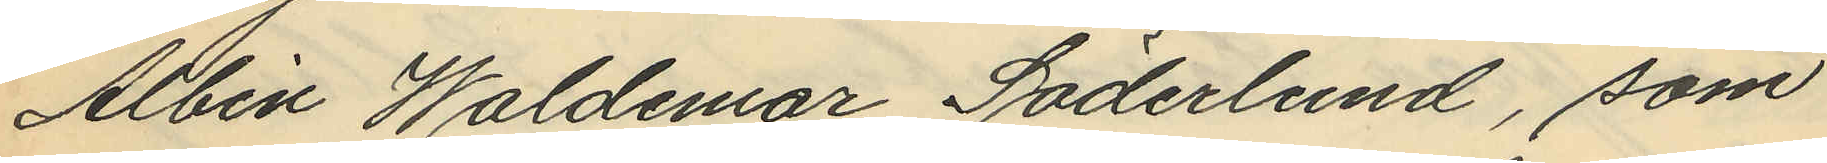Albin Waldemar Söderlund, som
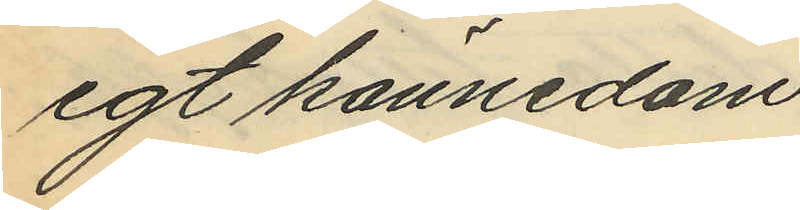egt kännedom
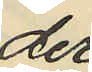der
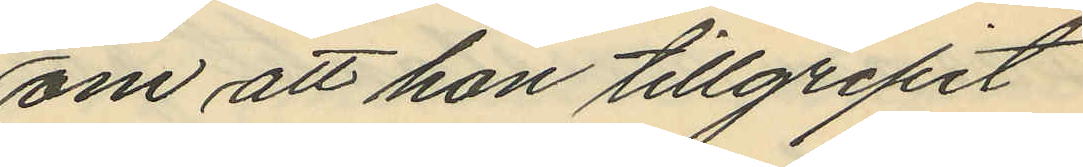om att hon tillgripit
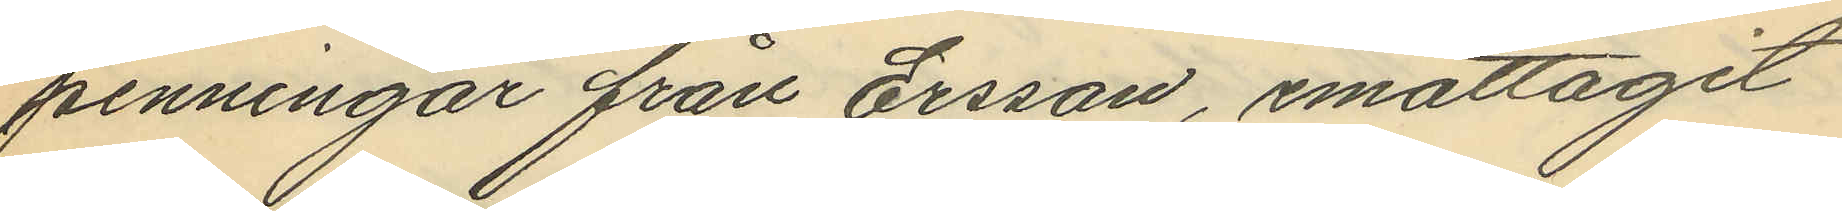penningar från Ersson, emottagit
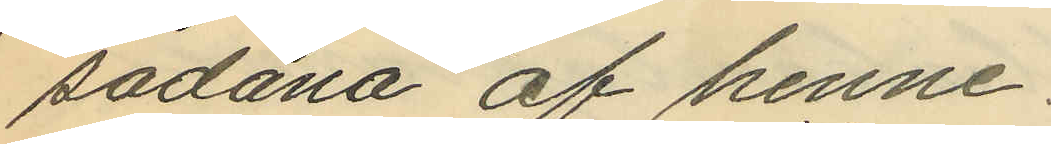sådana af henne.
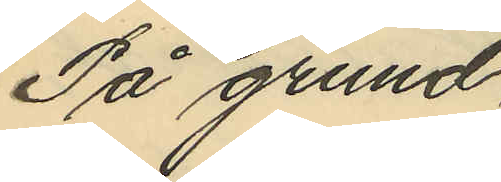På grund
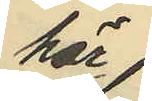här
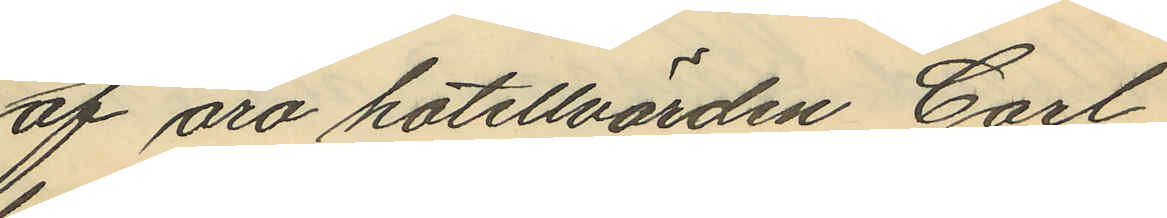af äro hotellvärden Carl
